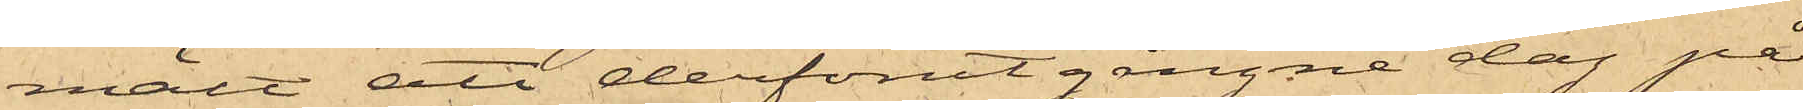mält att derförutgångne dag på
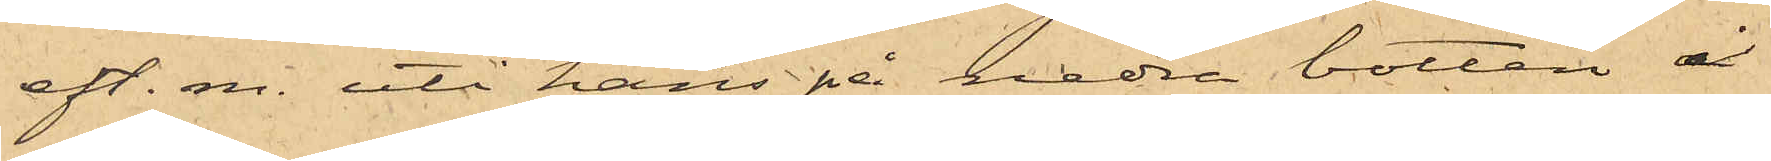eft. m. uti hans på nedra botten å
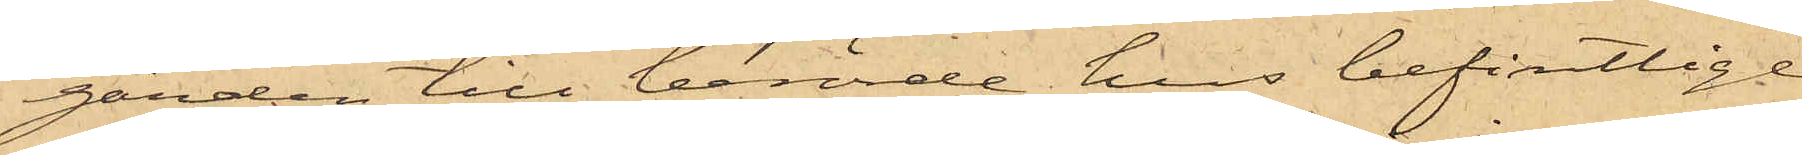gården till berörde hus befintlige
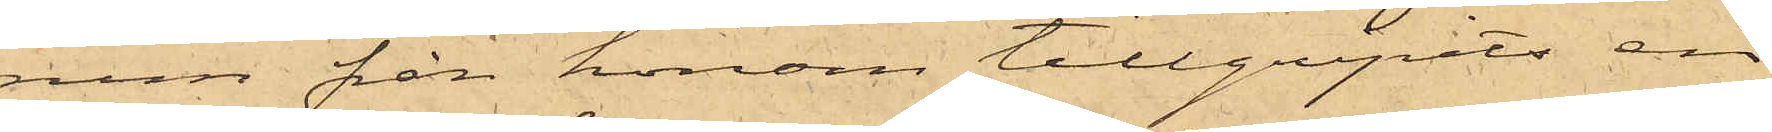rum från honom tillgripits en
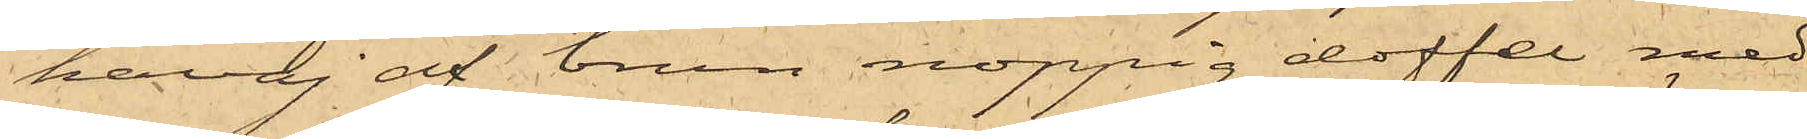kavaj af brun noppig doffel med
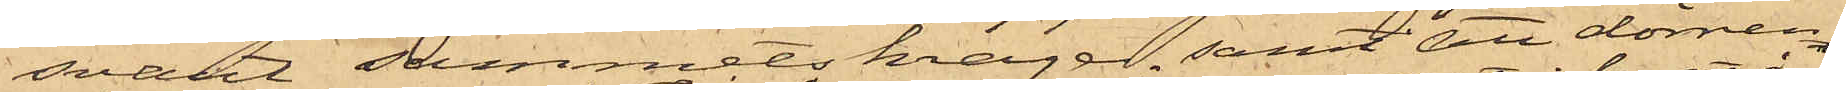svart sammetskrage samt att dörren
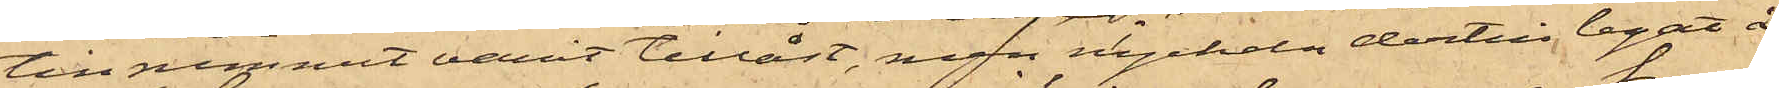till rummet varit tillåst, men nyckeln dertill legat å
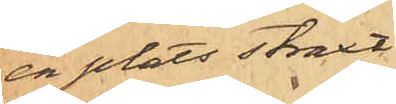en plats straxt
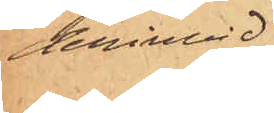derinvid.
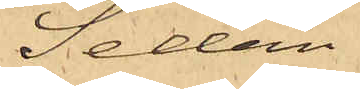Sedan
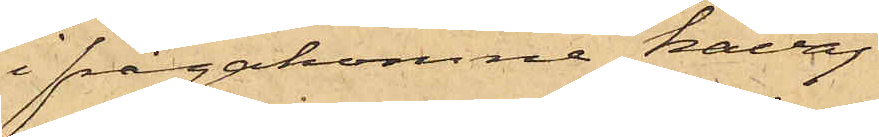ifrågakomne kavaj
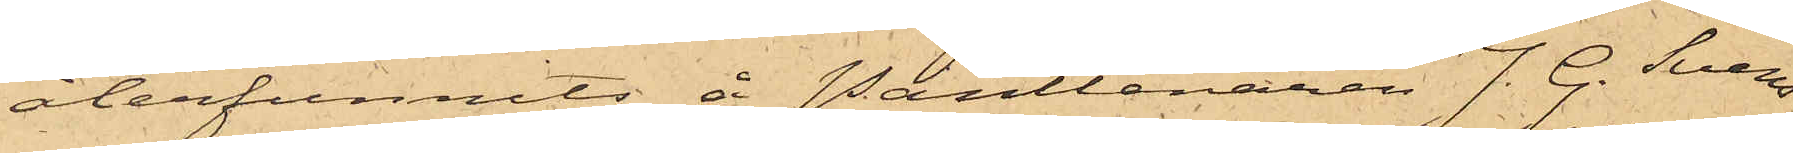återfunnits å Pantlånaren J. G. Svens¬
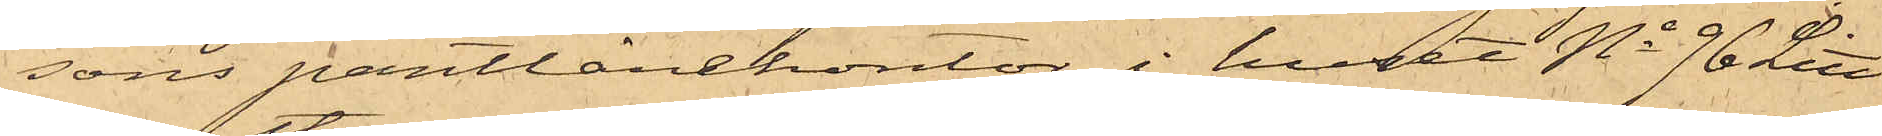sons pantlånekontor i huset No 96 Litt
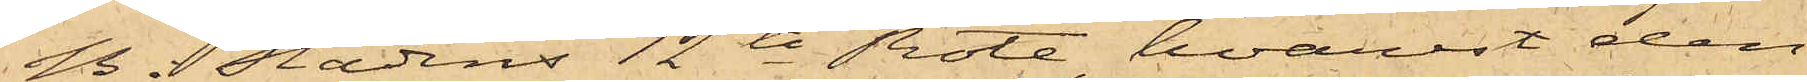B i Stadens 12te Rote, hvarest den
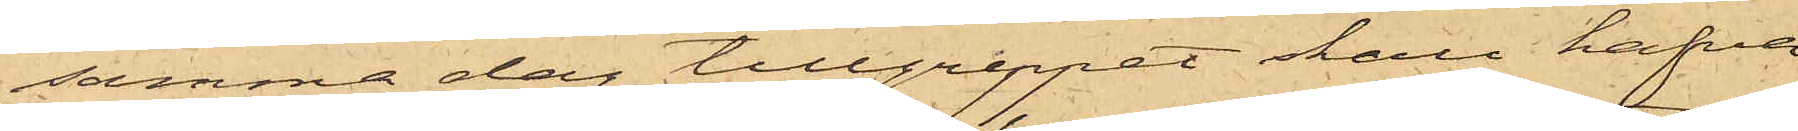samma dag tillgreppet skall hafva
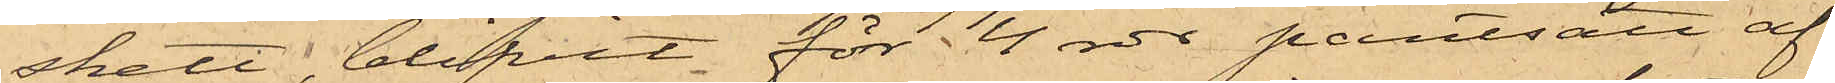skett, blifvit för 4 rdr pantsatt af
